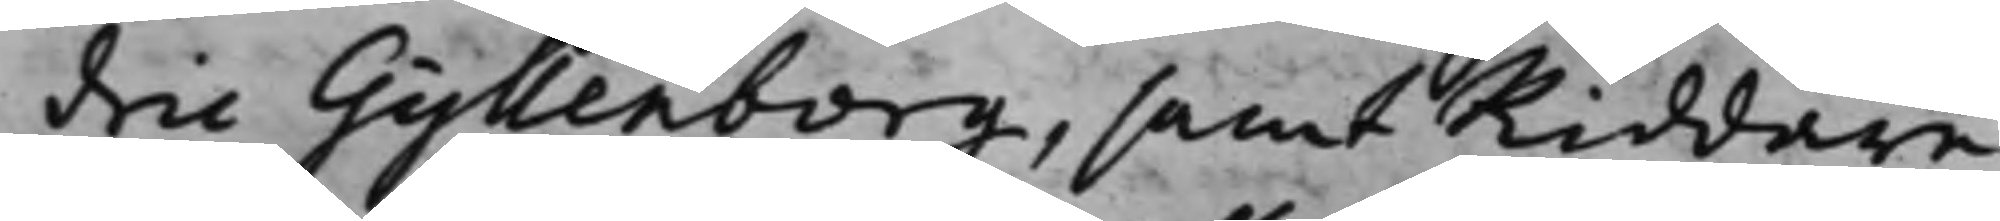dric Gyllenborg, samt Riddare¬
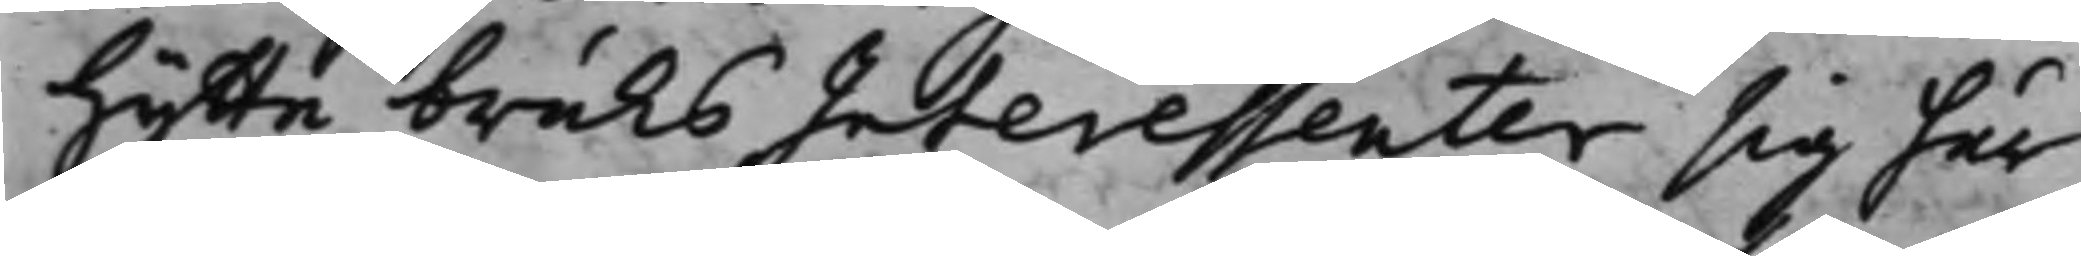hytte bruks Interessenter sig här¬
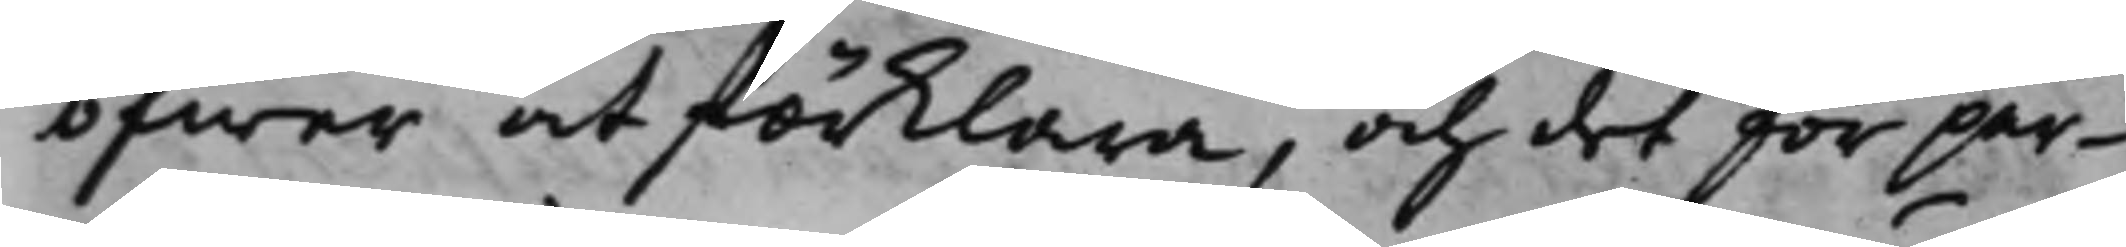öfwer at förklara, och det för par¬
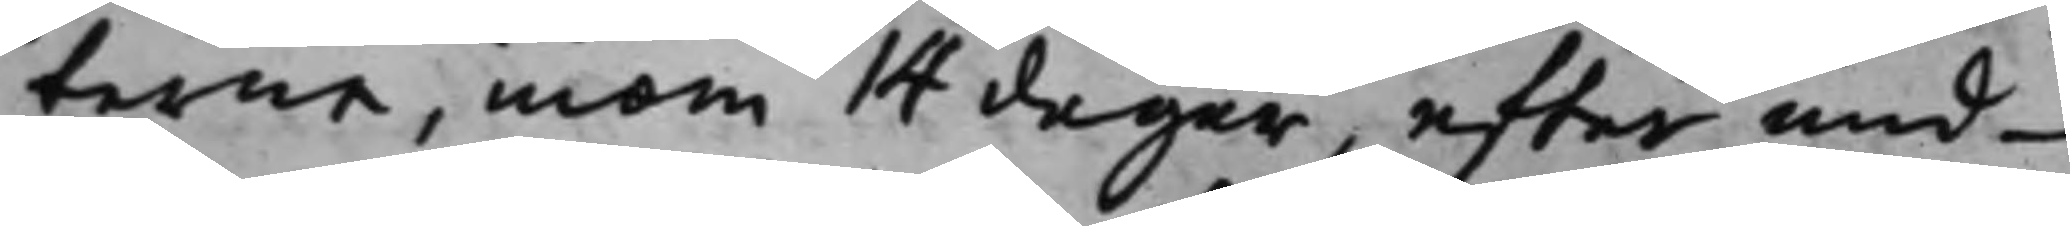terne, inom 14 dagar, efter und¬
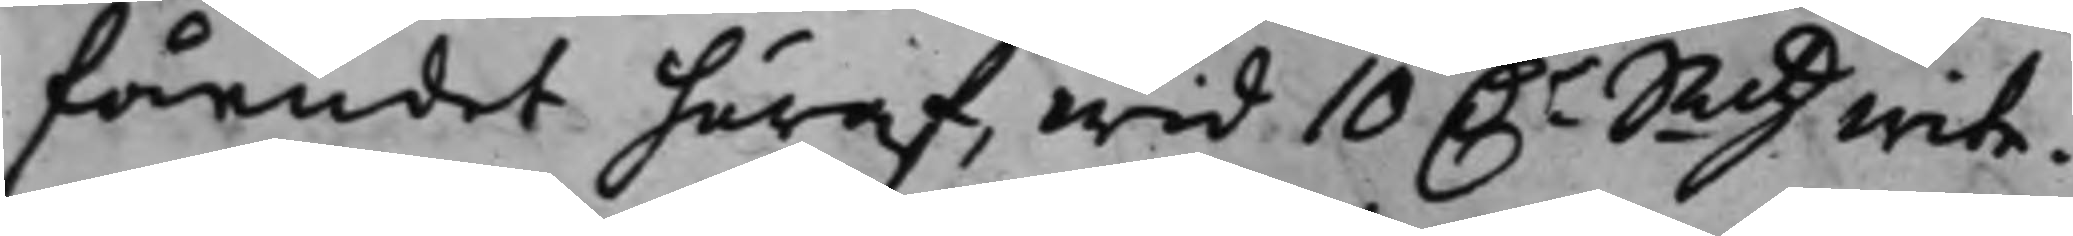fåendet häraf, wid 10 D.r Smtz wite.
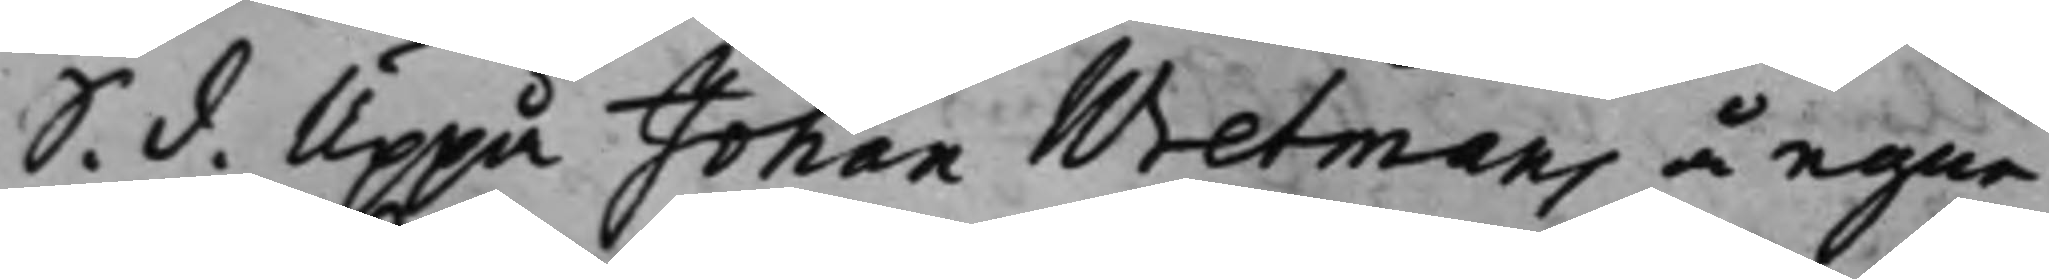S. d. Uppå Johan Wretmans å egne
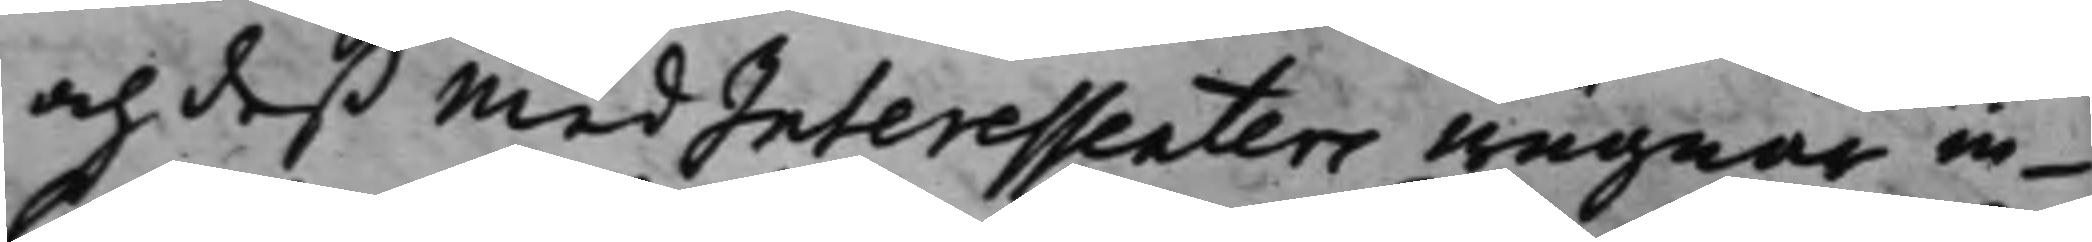och deß medInteressenters wägnar in¬
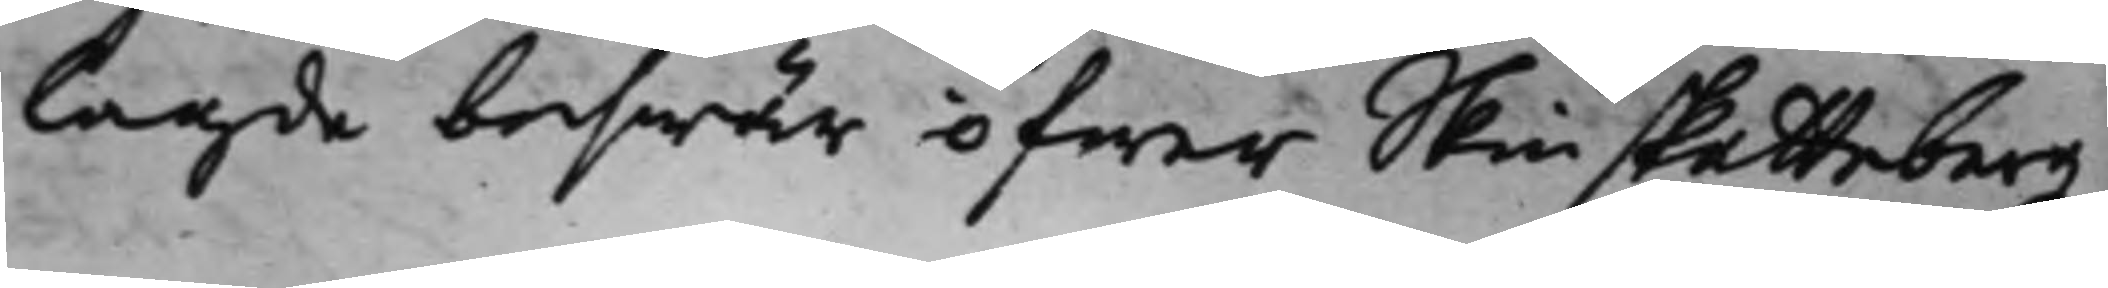lagde beswär öfwer Skinskattebergz
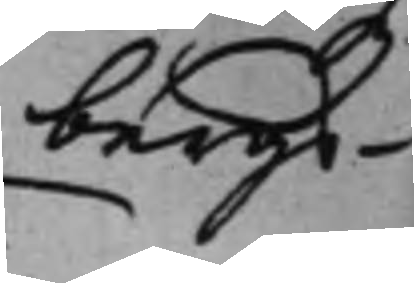bergs¬
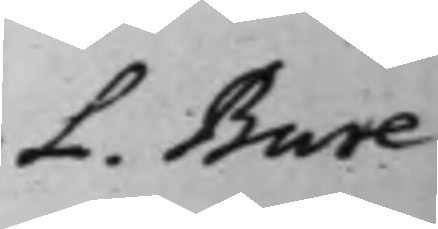L. Bure
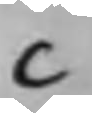C
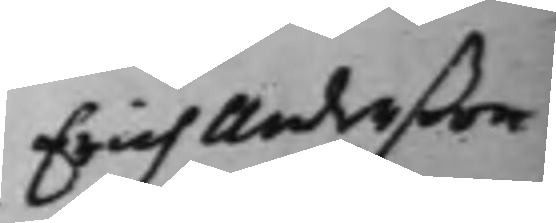Erich Anderßon
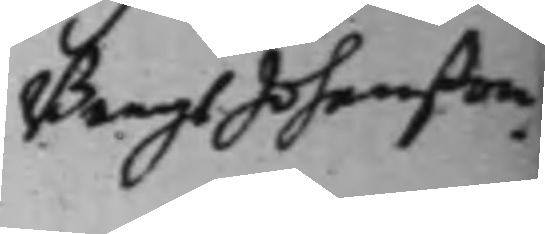Bengt Johanßon.
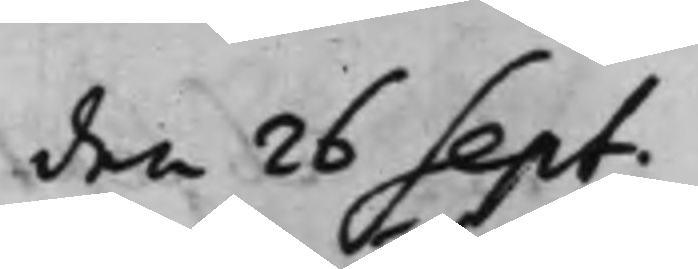den 26 Sept.
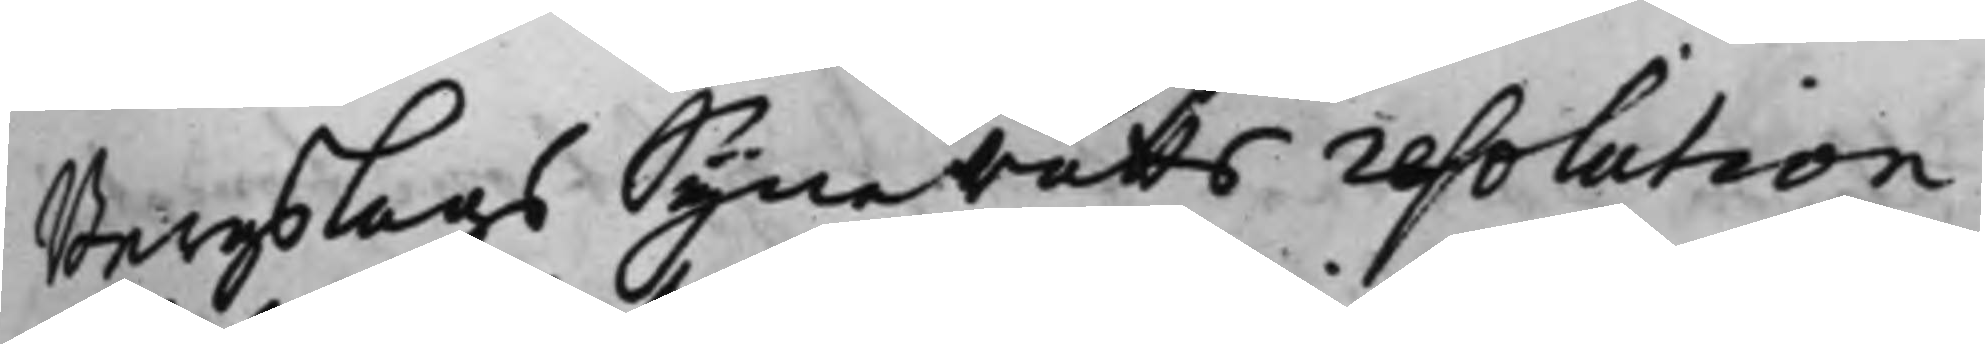Bergslags Synerätts resolution
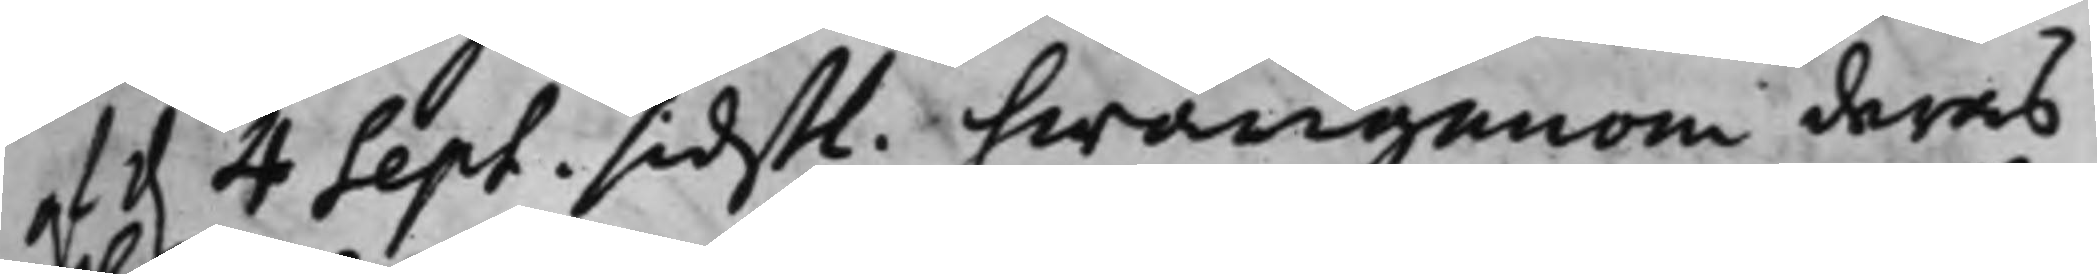af d. 4 Sept. sidst. hwarigenom deras
